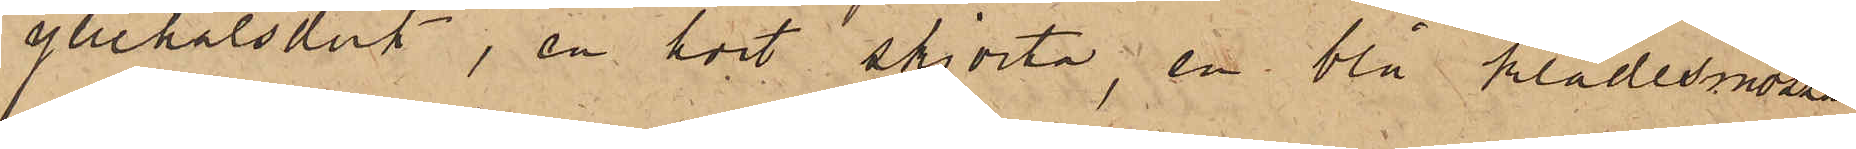yllehalsduk, en hvit skjorta, en blå klädesmössa
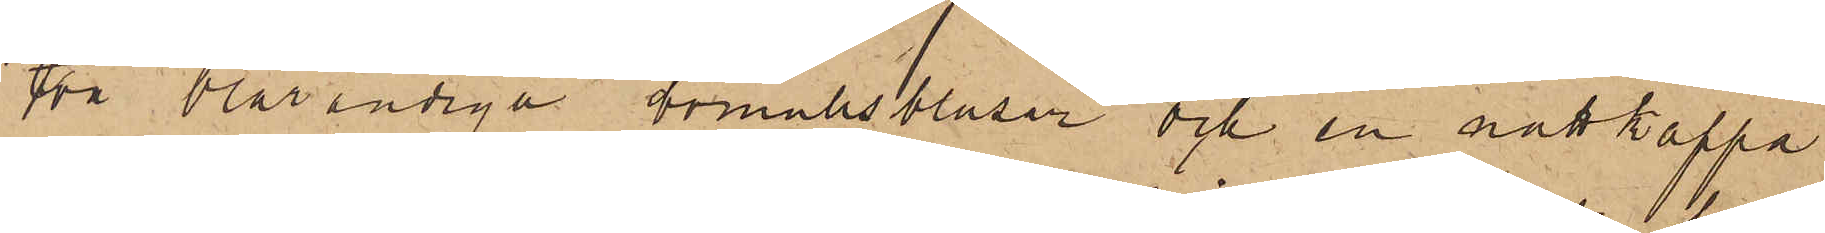två blårandiga bomullsblusar och en nattkappa
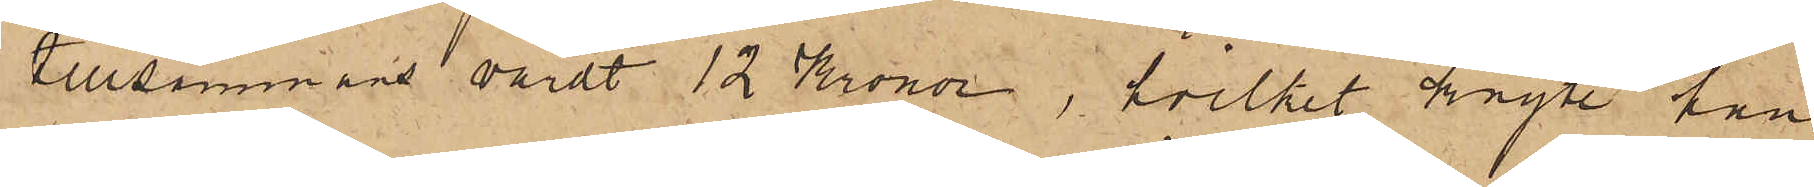tillsammans värdt 12 Kronor, hvilket knyte han
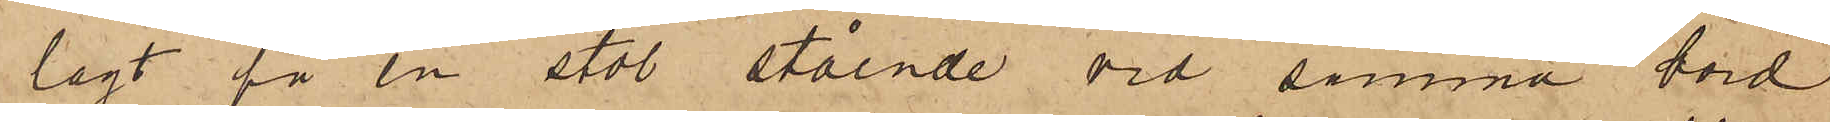lagt på en stol stående vid samma bord
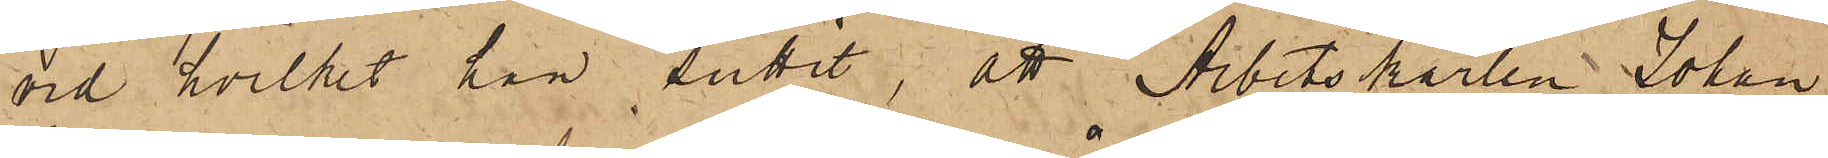vid hvilket han suttit, att Arbetskarlen Johan
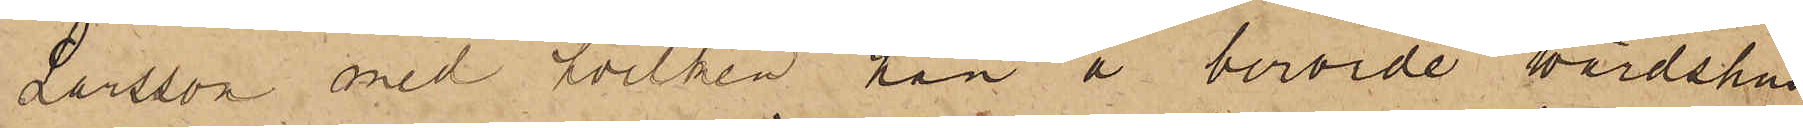Larsson med hvilken han å berörde wärdshus
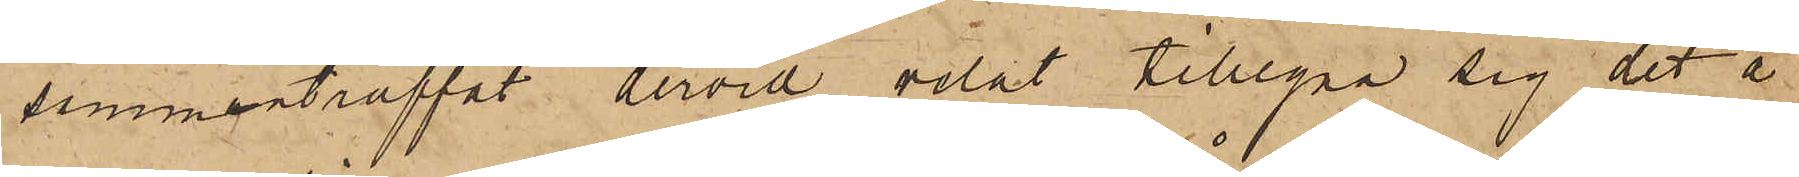sammanträffat dervid velat tillegna sig det å
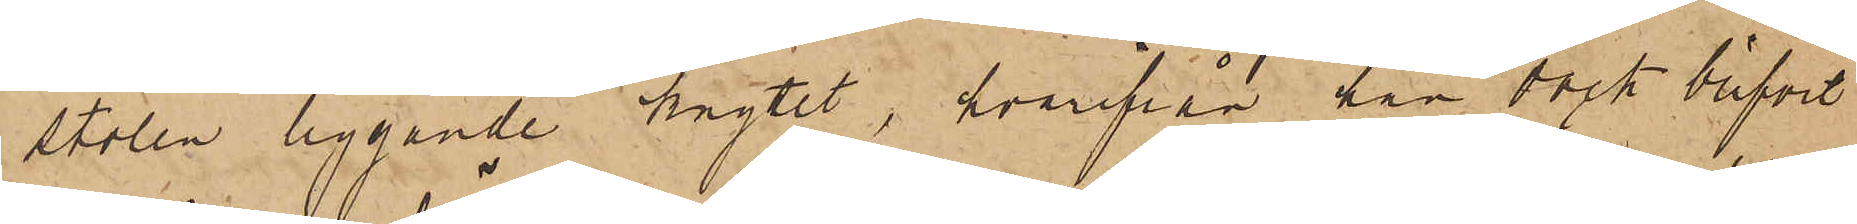stolen liggande knytet, hvarifrån han dock blifvit
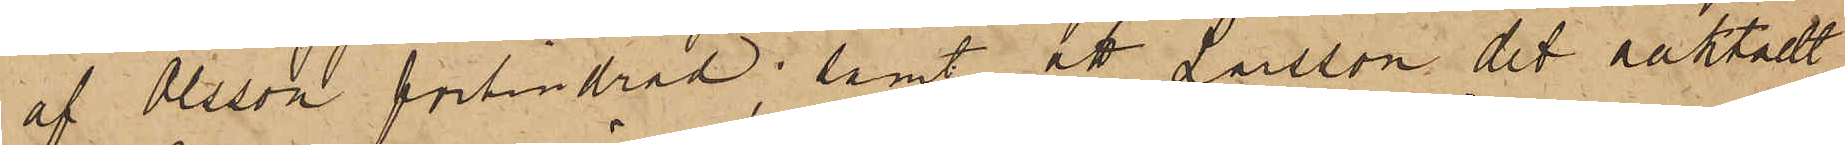af Olsson förhindrad; samt att Larsson det oaktadt
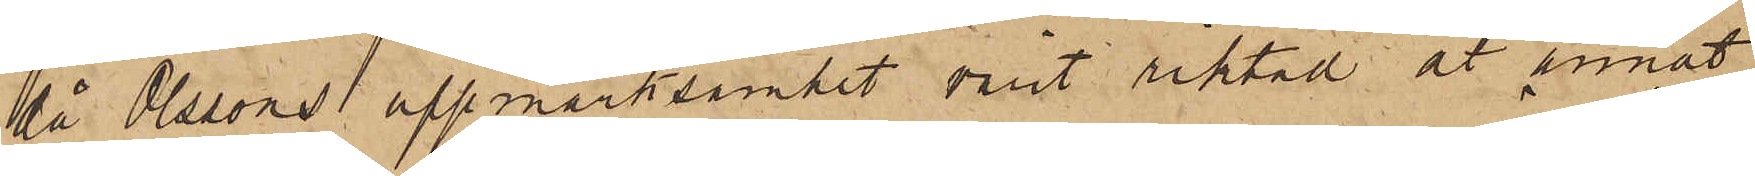då Olssons uppmärksamhet varit riktad åt annat
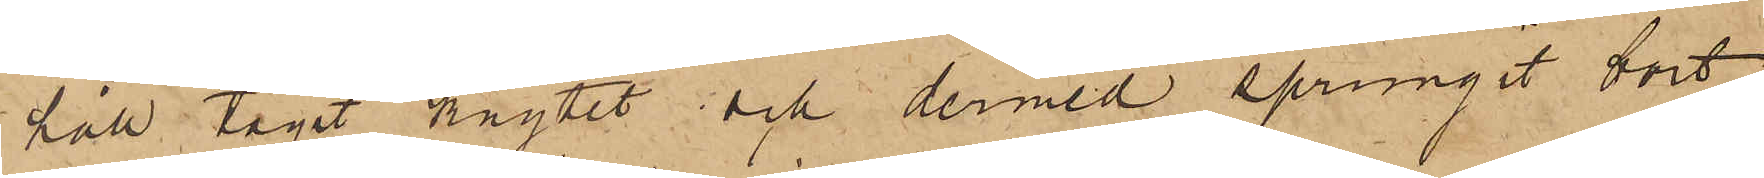håll tagit knytet och dermed sprungit bort
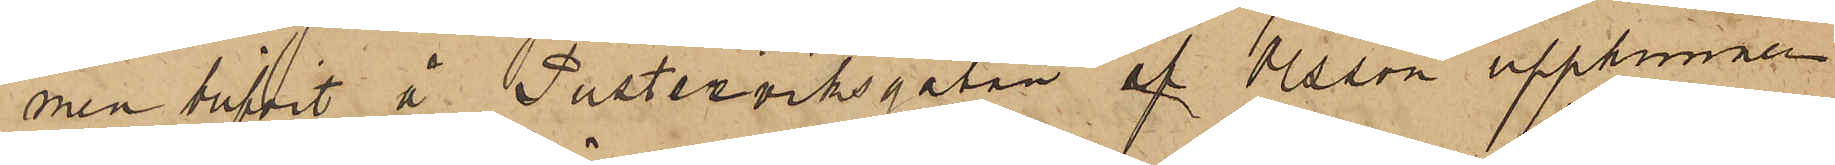men blifvit å Pusterviksgatan af Olsson upphunnen
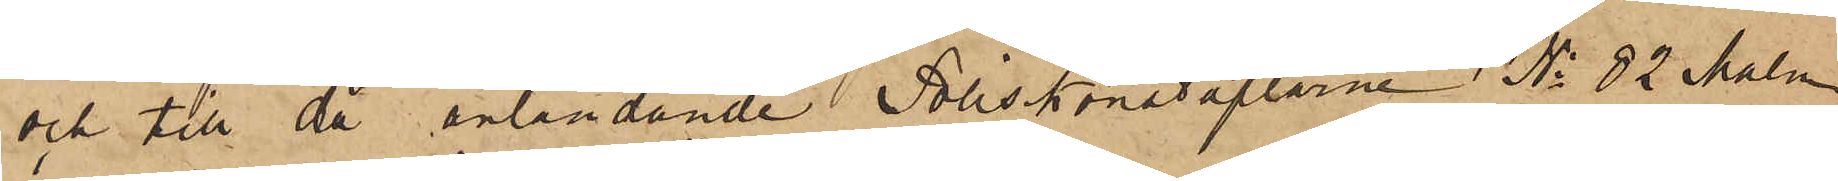och till då anländande Poliskonstaplarne No 82 Malm
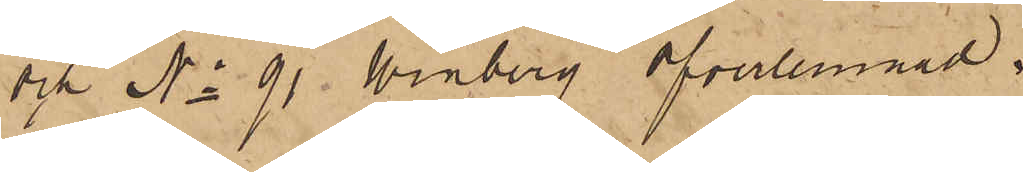och No 91 Winberg öfverlemnad.
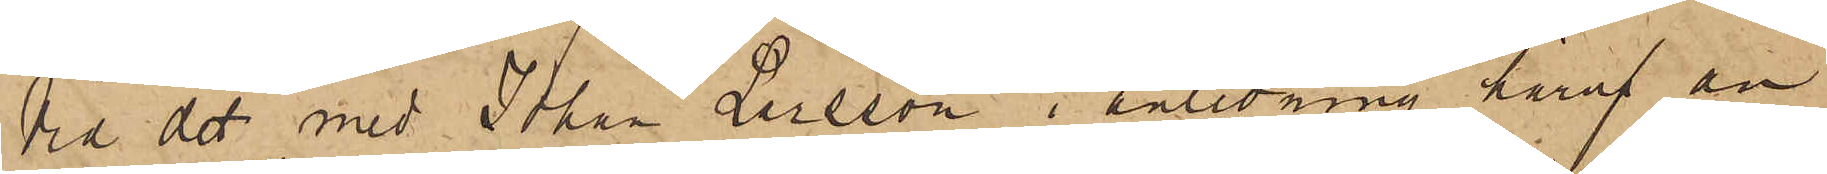Vid det med Johan Larsson i anledning häraf an¬
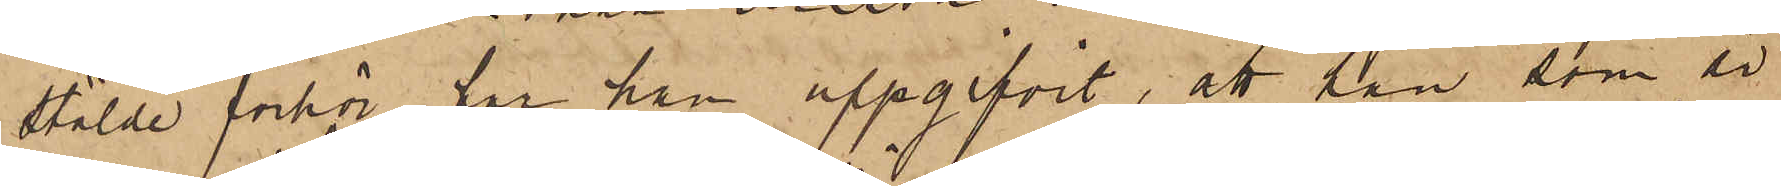stälde förhör har han uppgifvit, att han, som är
